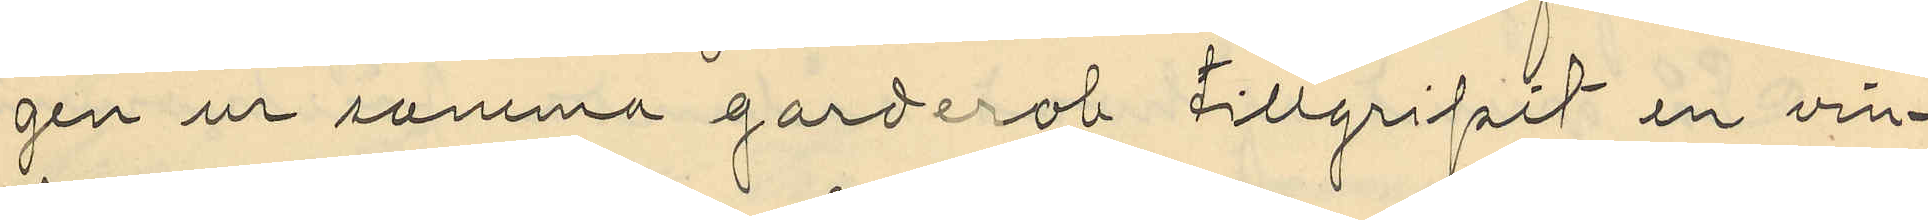gen ur samma garderob tillgripit en vin¬
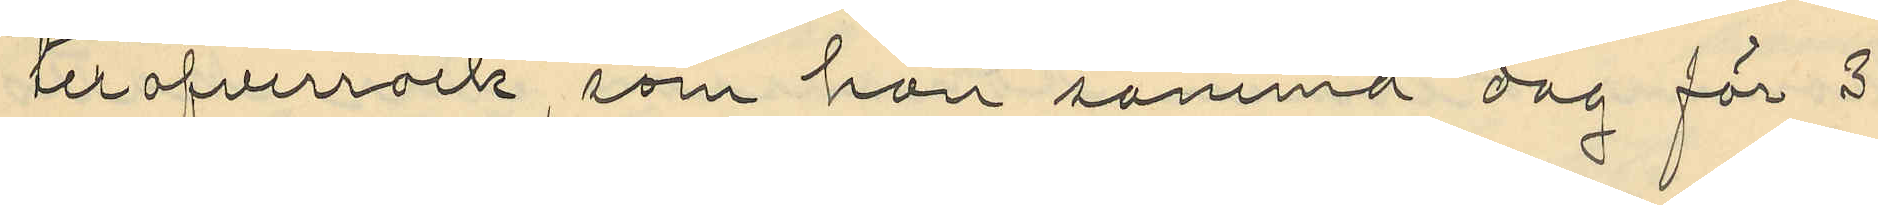teröfverrock, som han samma dag för 3
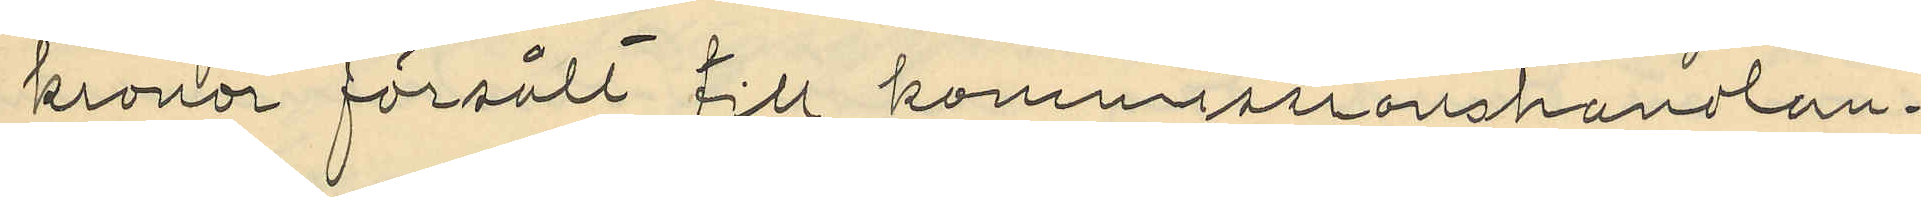kronor försålt till kommissionshandlan¬
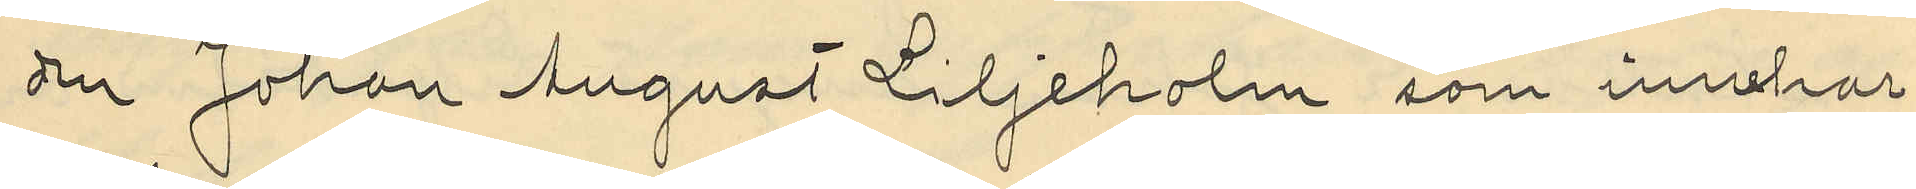den Johan August Liljeholm som innehar
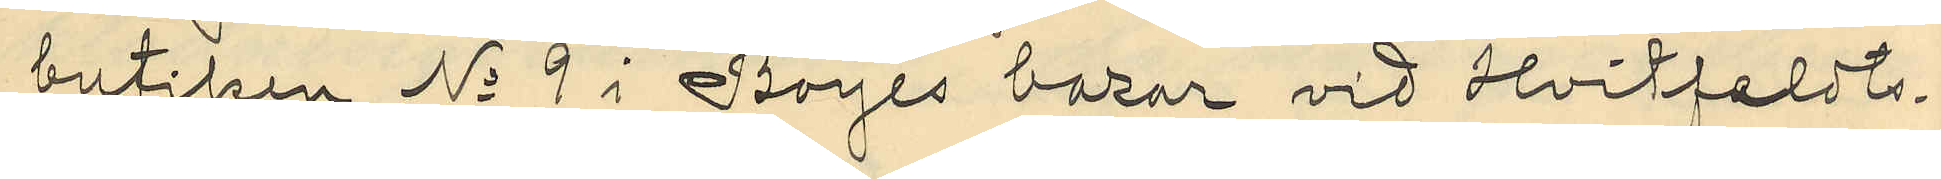butiken No 9 i Boyes bazar vid Withfeldts¬
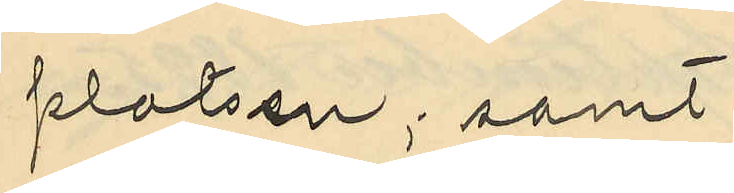platsen; samt
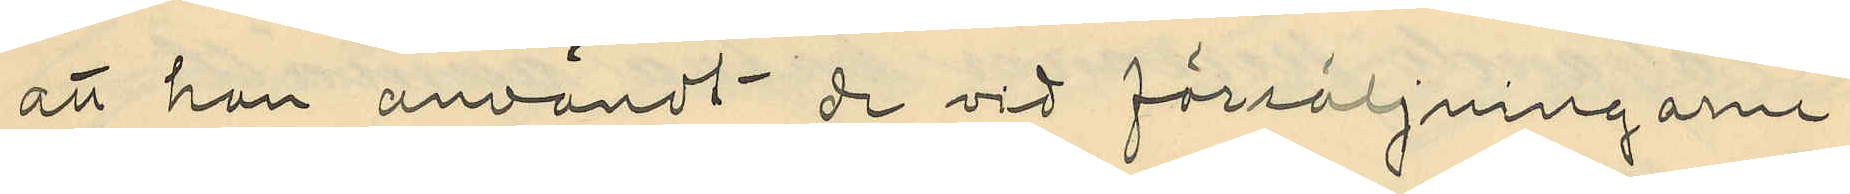att han användt de vid försäljningarne
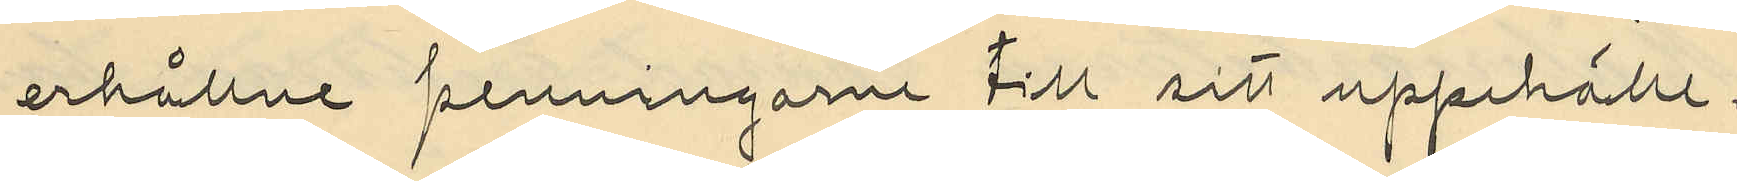erhållne penningarne till sitt uppehälle.
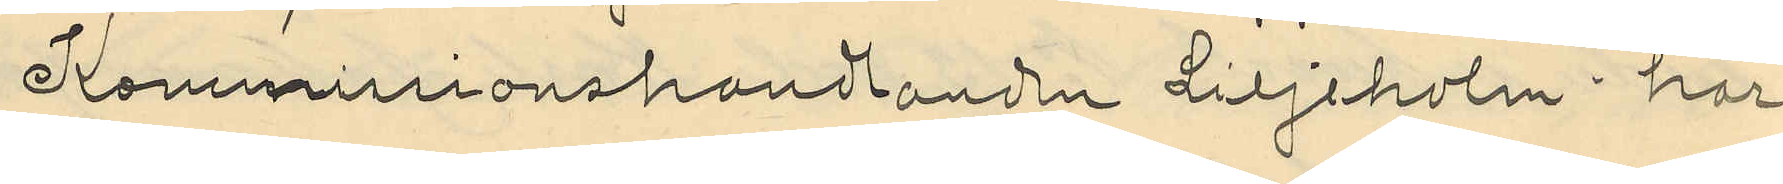Kommissionshandlanden Liljeholm har
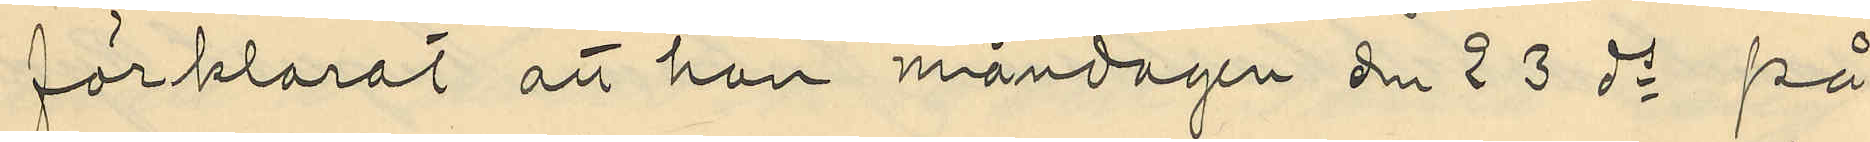förklarat att han måndagen den 23 ds på
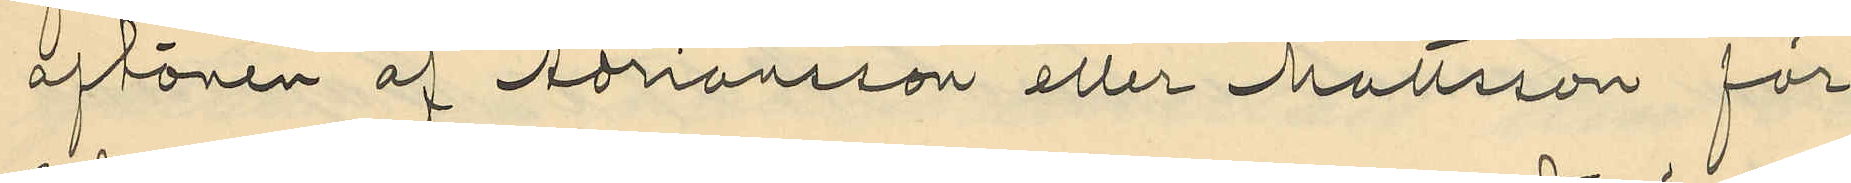aftonen af Adriansson eller Mattsson för
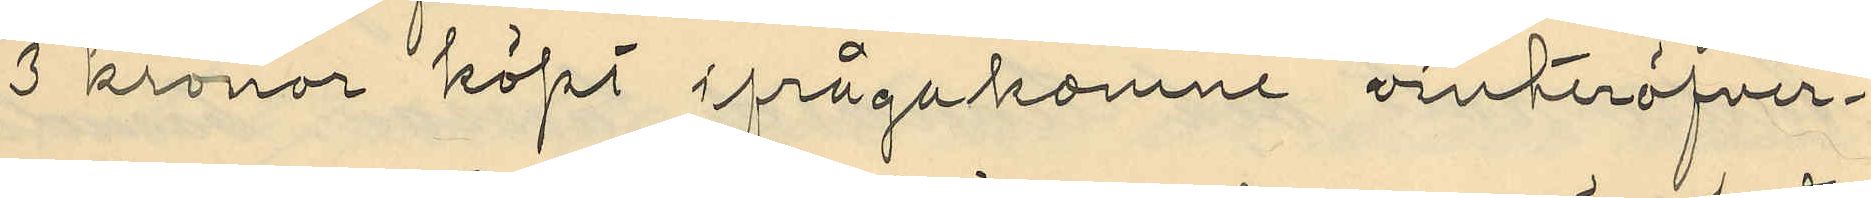3 kronor köpt ifrågakomne vinteröfver¬
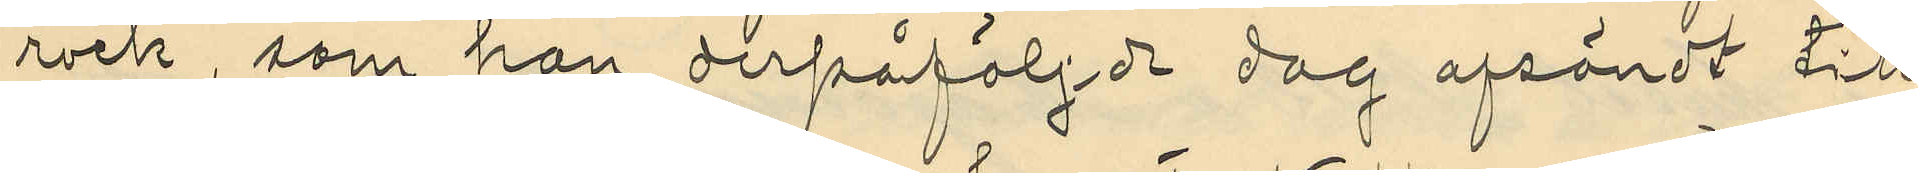rock, som han derpåföljde dag afsändt till
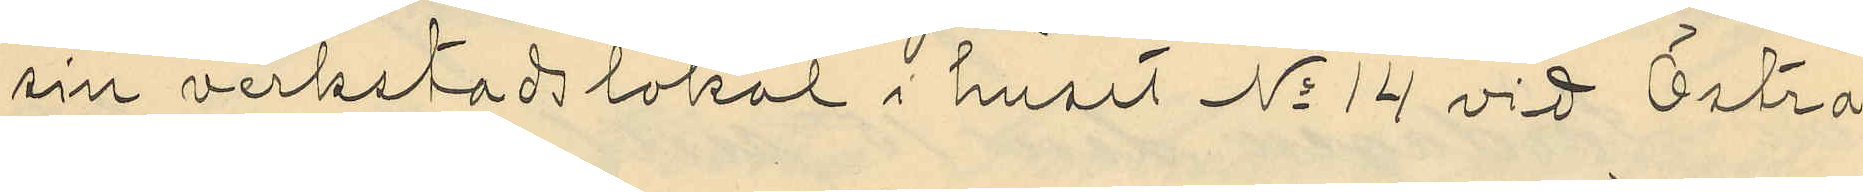sin verkstadslokal i huset No 14 vid Östra
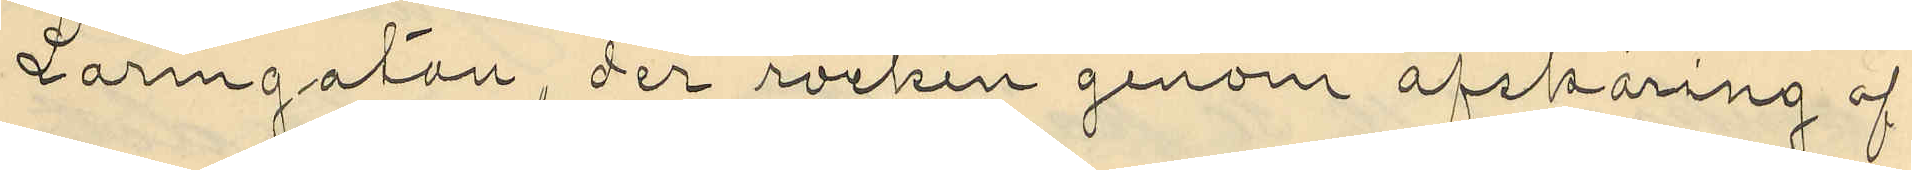Larmgatan, der rocken genom afskäring af
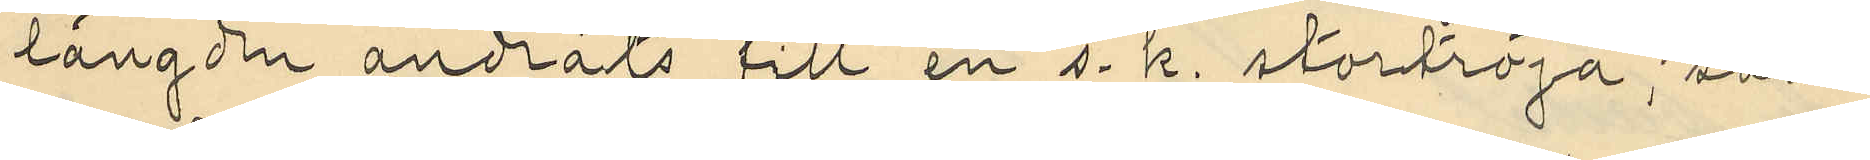längden ändrats till en s. k. stortröja; samt
